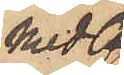med
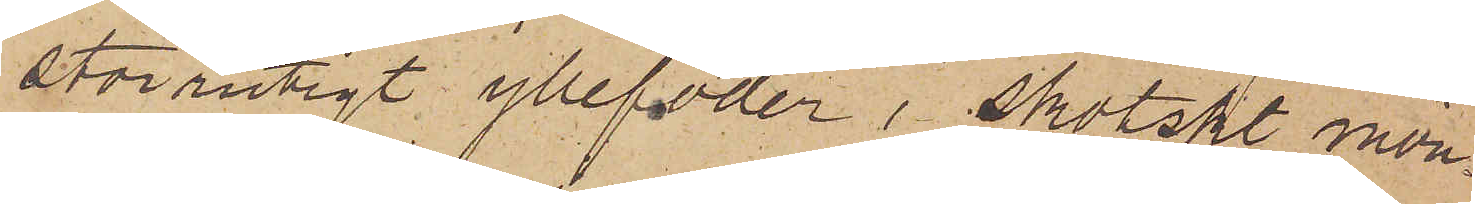storrutigt yllefoder i skotskt mön¬
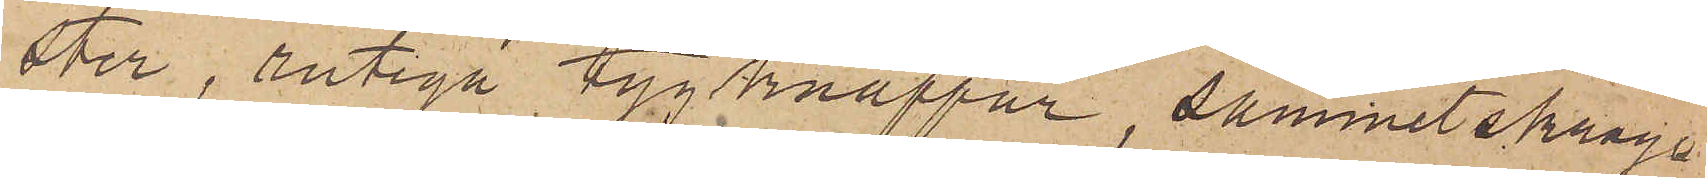ster, rutiga tygknappar, sammetskrage
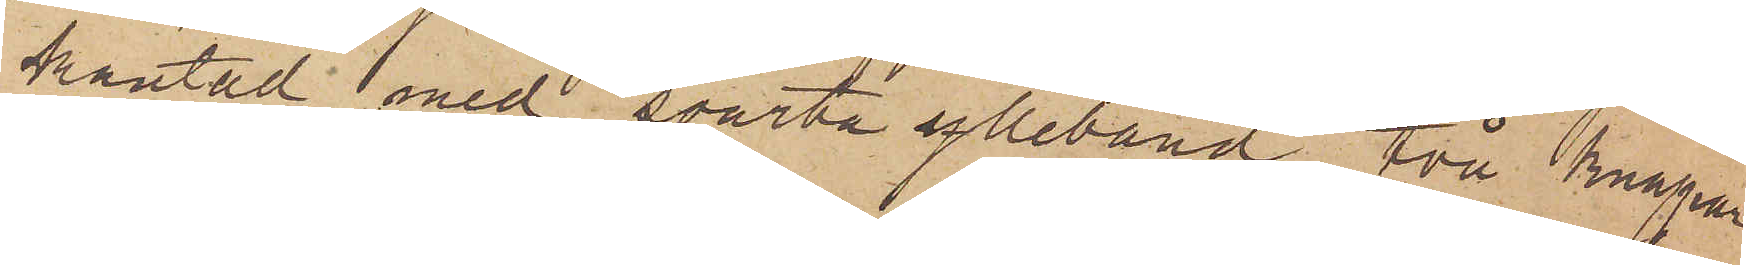kantad med svarta ylleband, två knappar
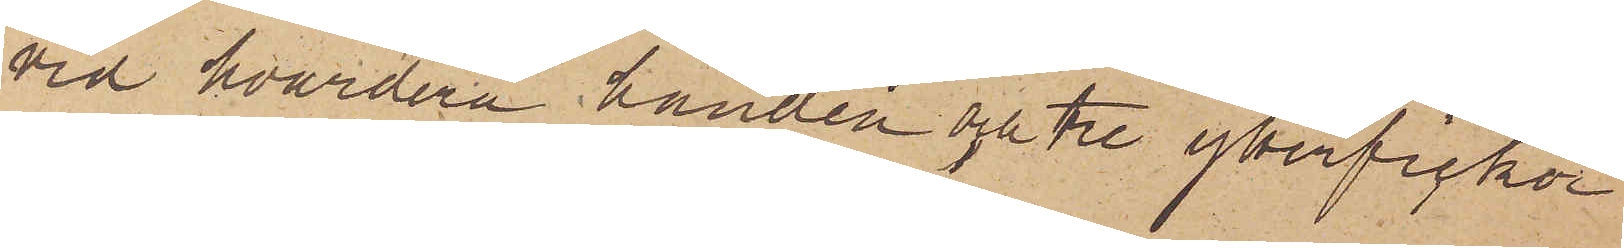vid hvardera handen och tre ytterfickor
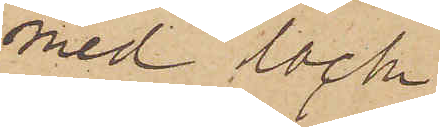med lock.
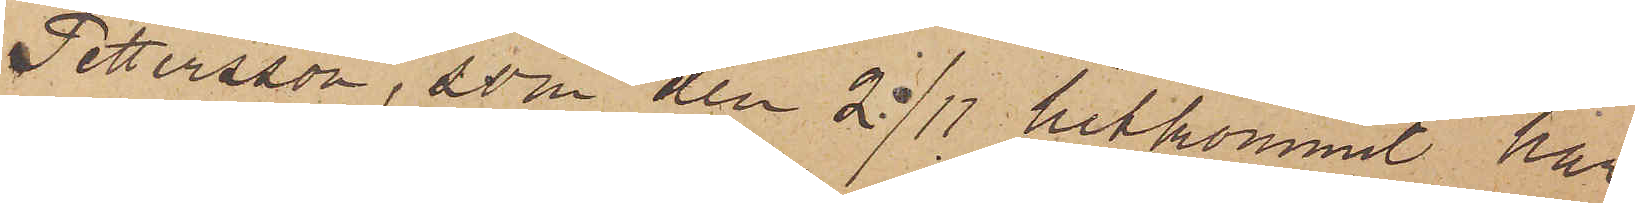Pettersson, som den 2/11 hitkommit har
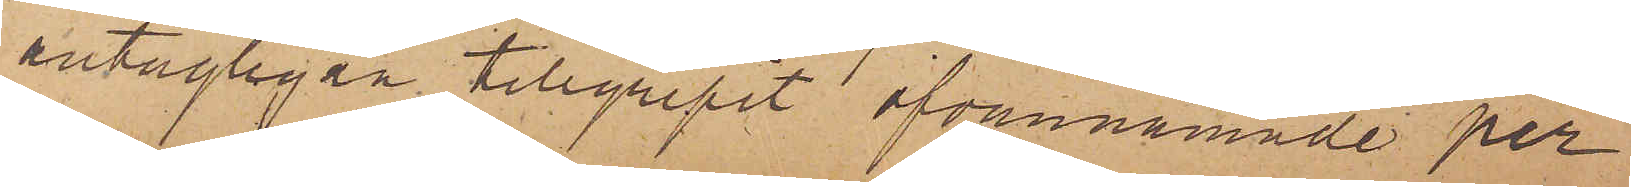antagligen tillgripit ofvannämnde per¬
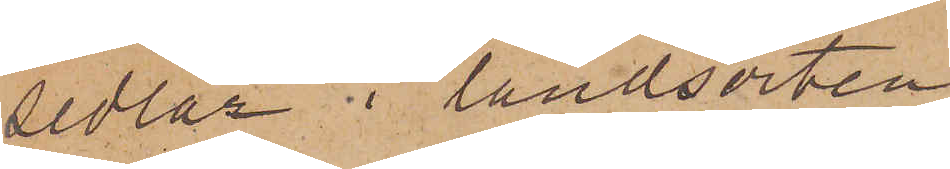sedlar i landsorten
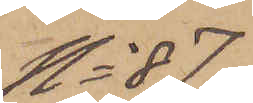No 87.
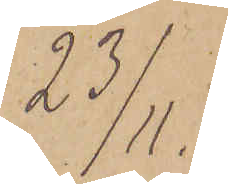23/11.
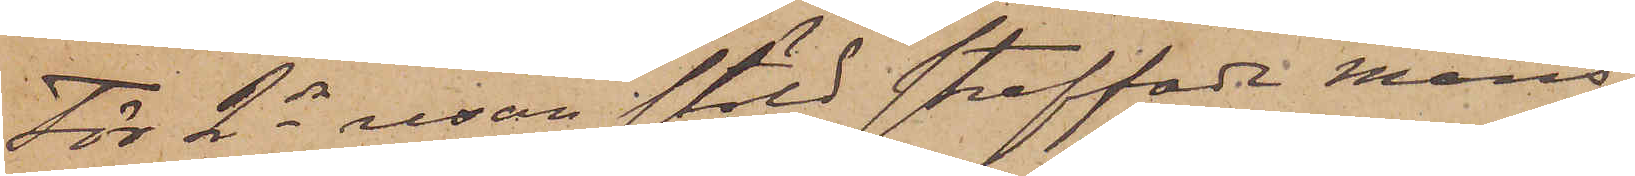För 2dra resan stöld straffade Mans¬
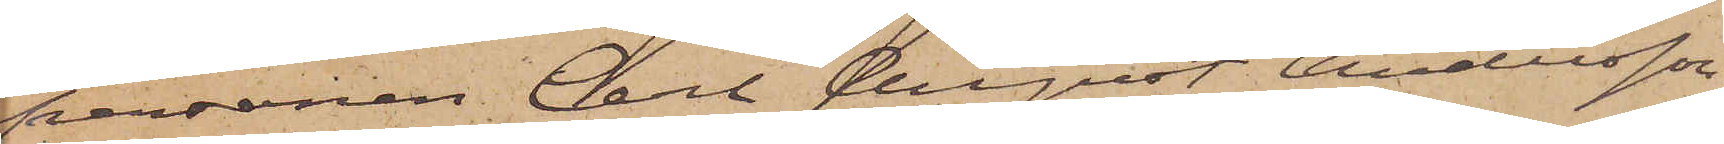personen Carl August Andersson
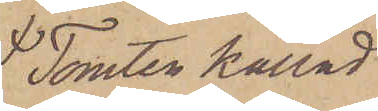Tomten kallad
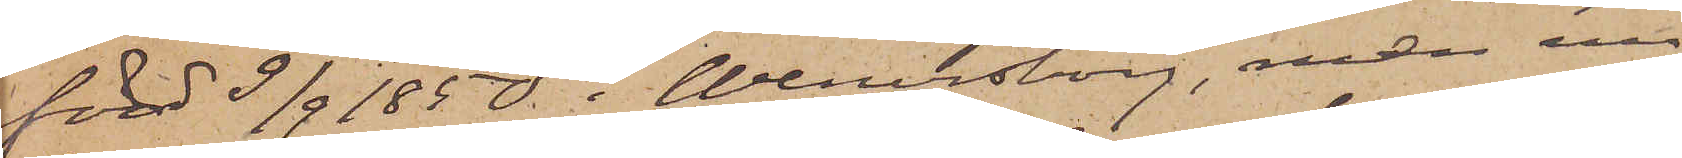född 9/9 1850 i Wenersborg, men nu
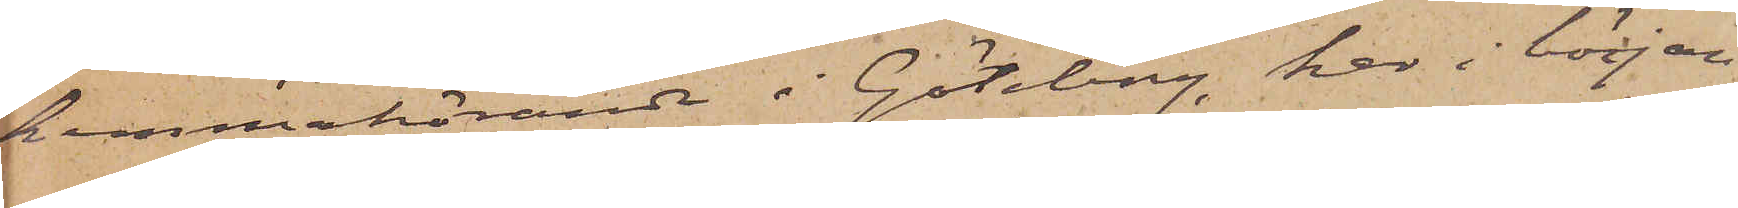hemmahörande i Göteborg, har i början
